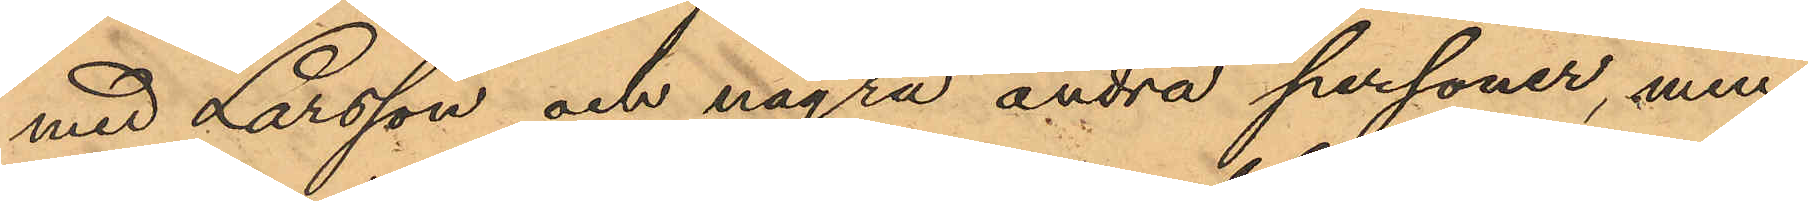med Larsson och några andra personer, men
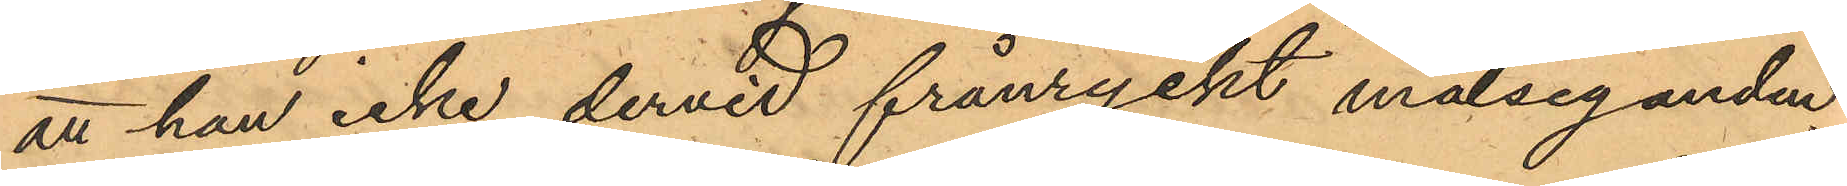att han icke dervid frånryckt målseganden
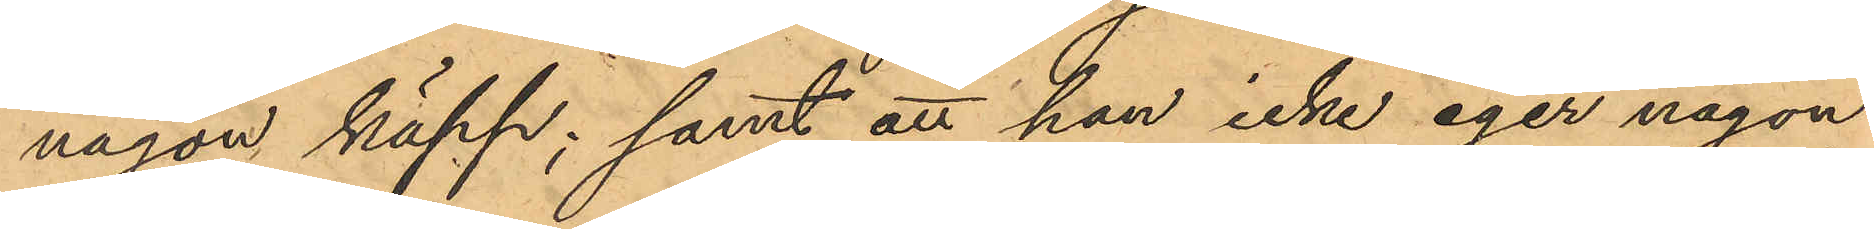någon käpp; samt att han icke eger någon
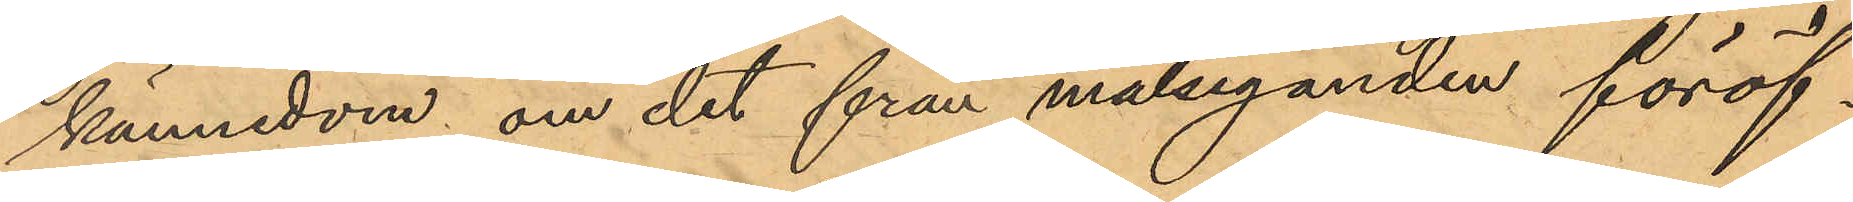kännedom om det från målseganden föröf¬
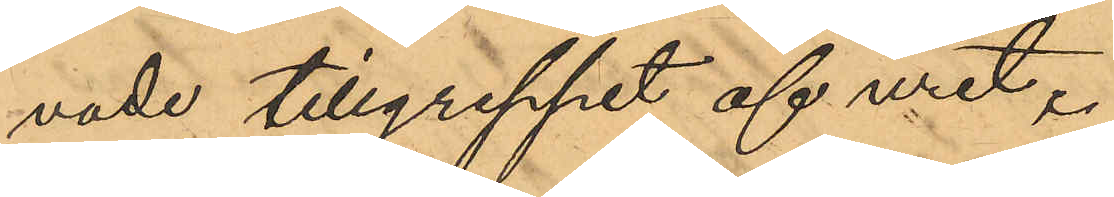vade tillgreppet af uret.
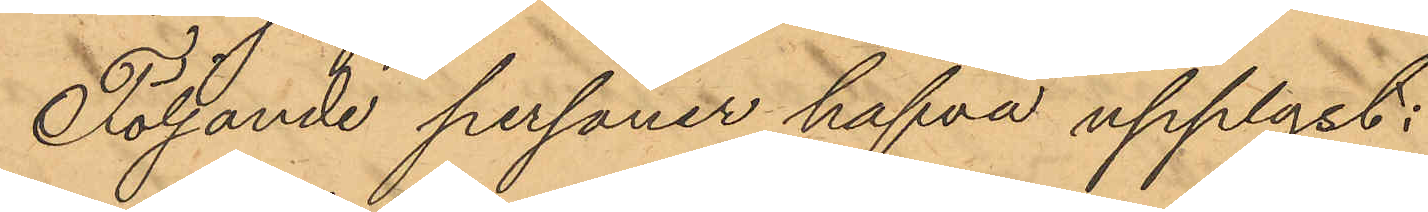Följande personer hafva upplyst:
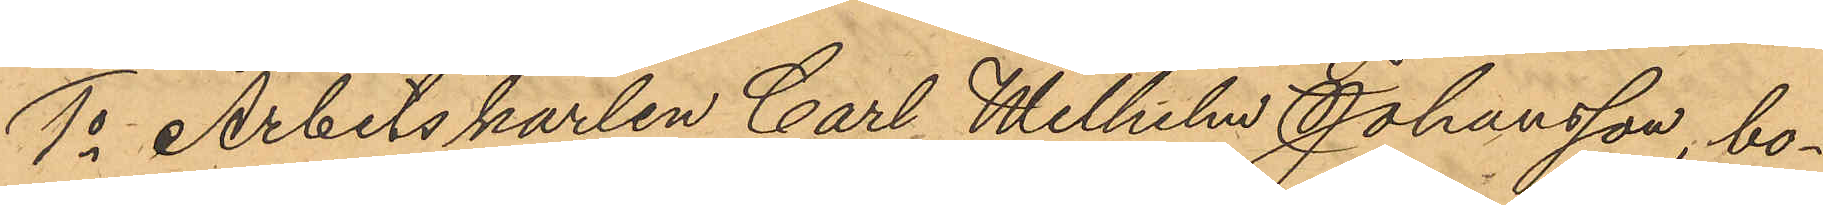1o Arbetskarlen Carl Wilhelm Johansson, bo¬
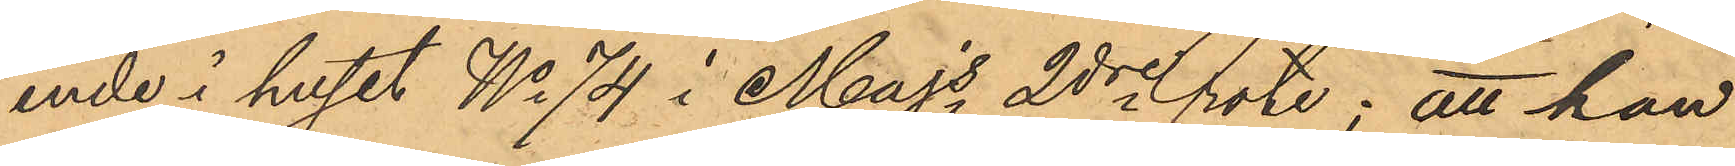ende i huset No 74 i Majs 2dre rote; att han
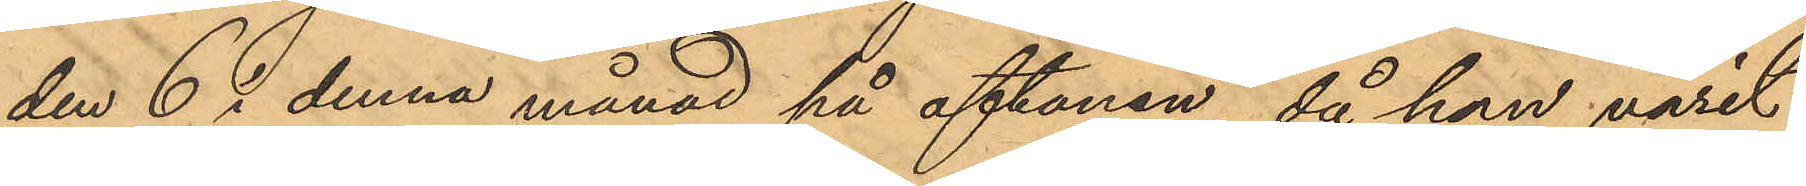den 6 i denna månad på aftonen, då han varit
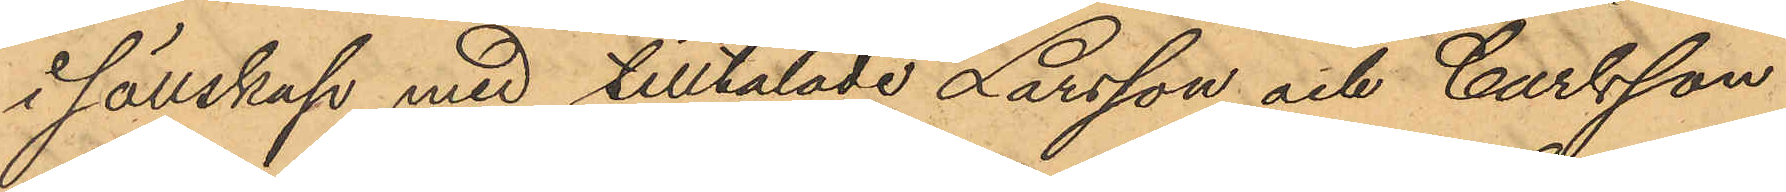i sällskap med tilltalade Larsson och Carlsson
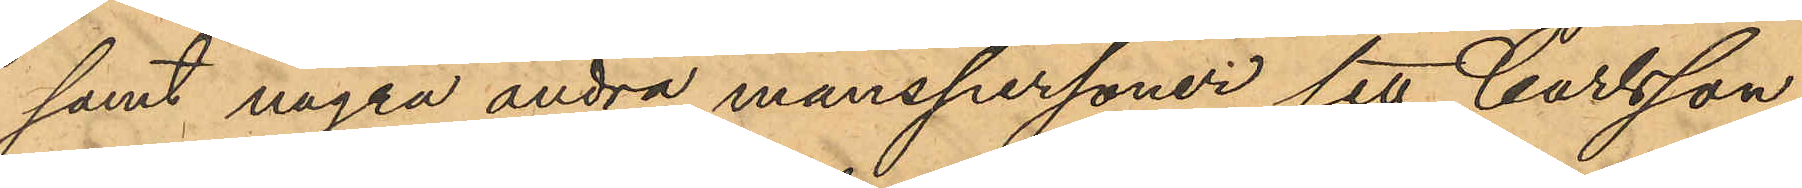samt några andra manspersoner sett Carlsson
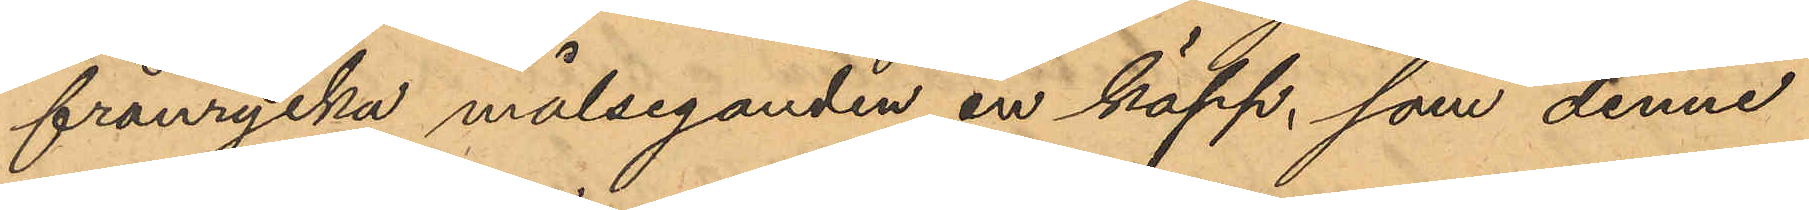frånrycka målseganden en käpp, som denne
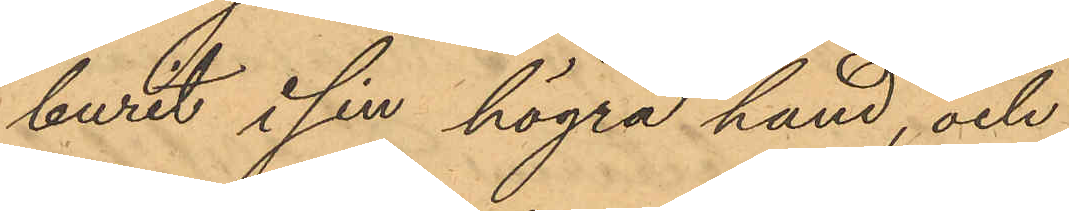burit i sin högra hand, och
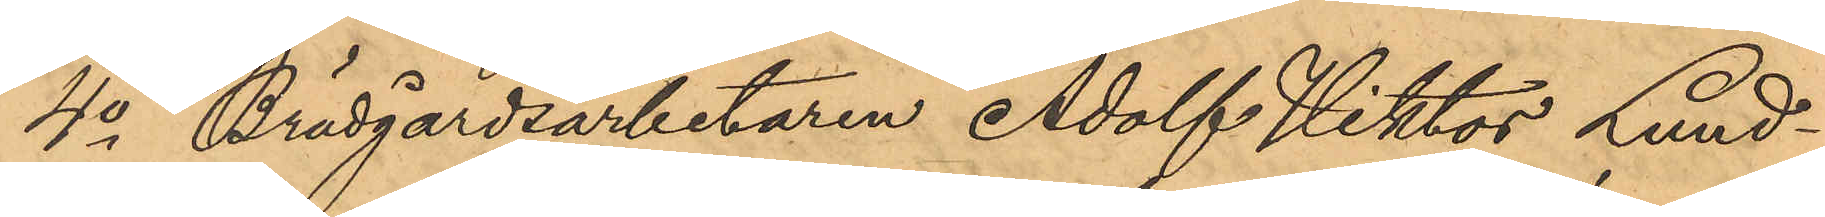4o Brädgårdsarbetaren Adolf Viktor Lund¬
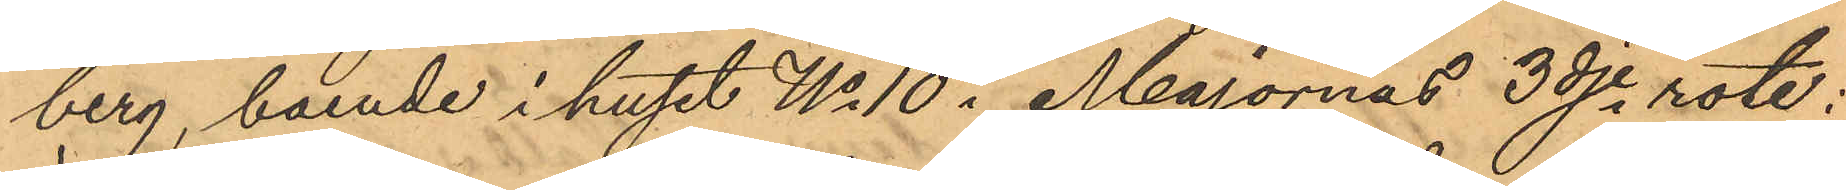berg, boende i huset No 10 i Majornas 3dje rote;
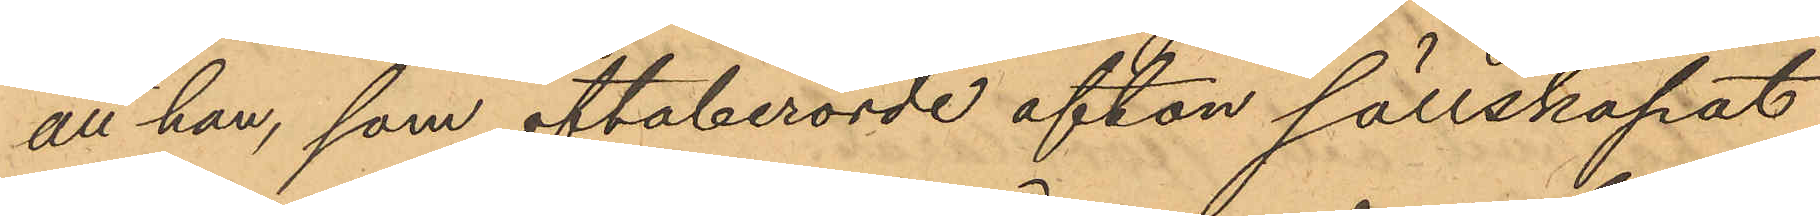att han, som oftaberörde afton sällskapat
